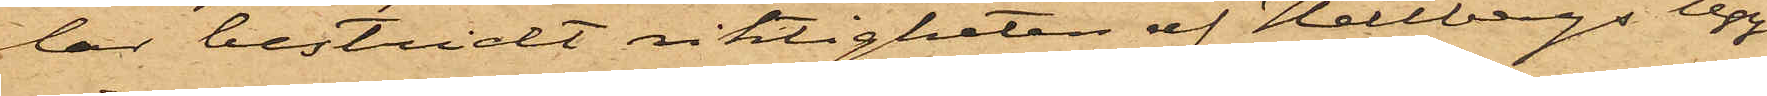lar bestridt riktigheten af Hellbergs upp¬
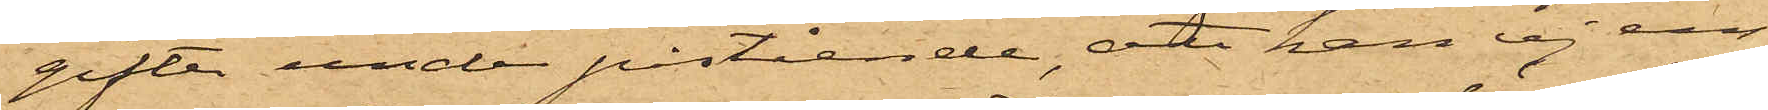gifter under påsteende, att han ej ens
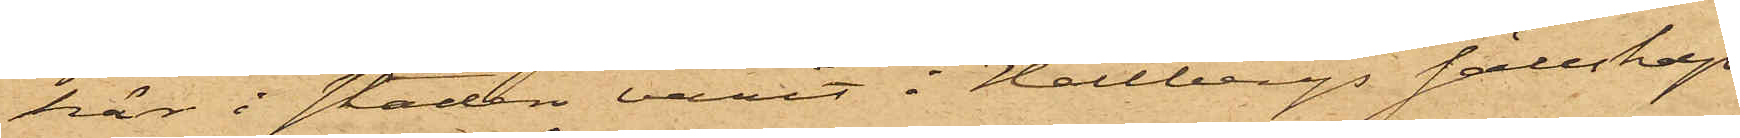här i staden varit i Hellbergs sällskap.
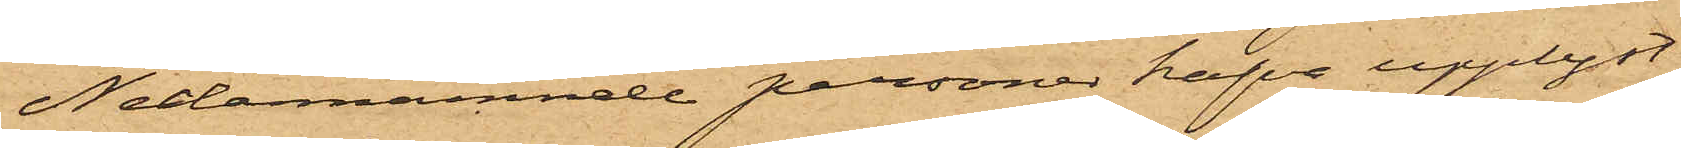Nedanämnde personer hafva upplyst:
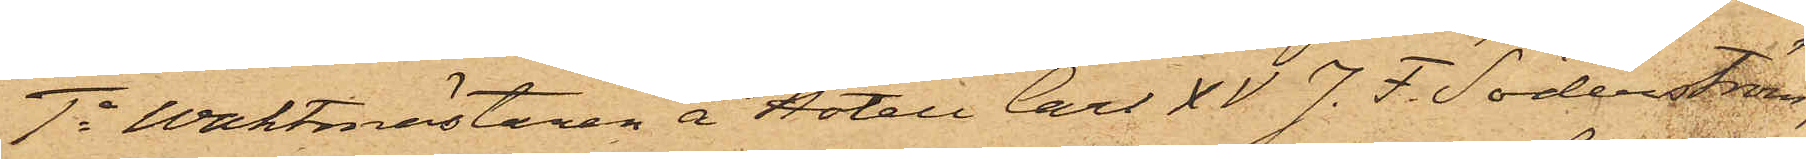1o Waktmästaren å Hotell Carl XV J. F. Söderström,
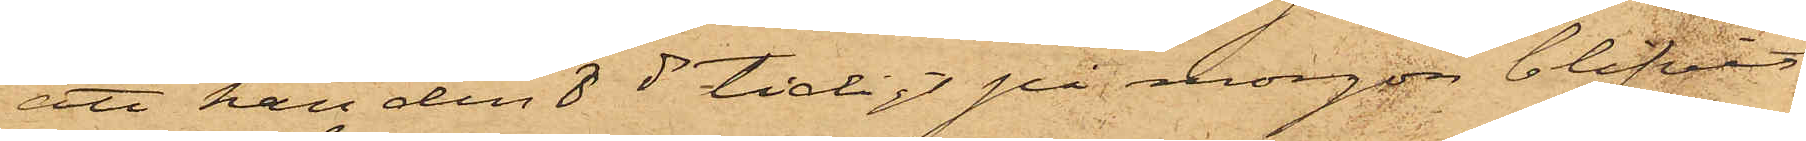att han den 8 ds tidigt på morgon blifvit
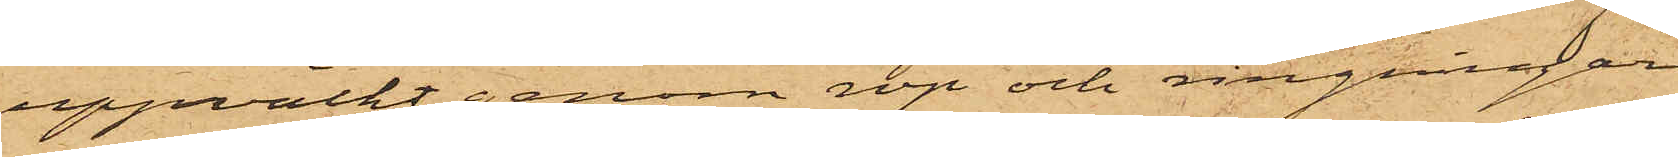uppväckt genom rop och ringningar
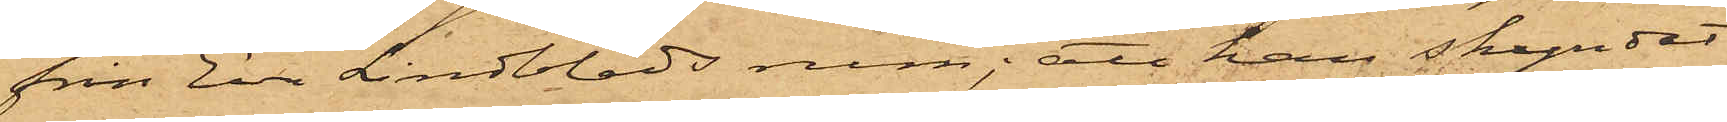från Eva Lindblads rum; att han skyndat
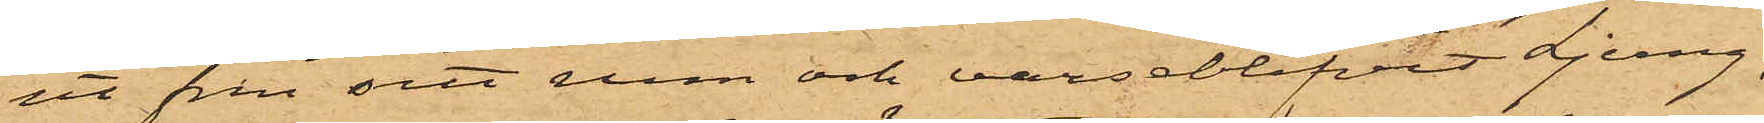ut från sitt rum och varseblifvit Ljung,
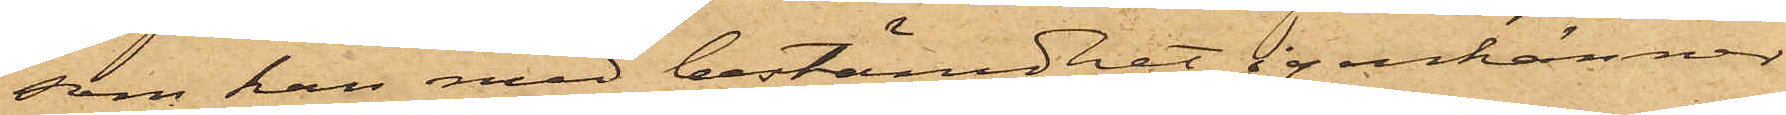som han med bestämdhet igenkänner
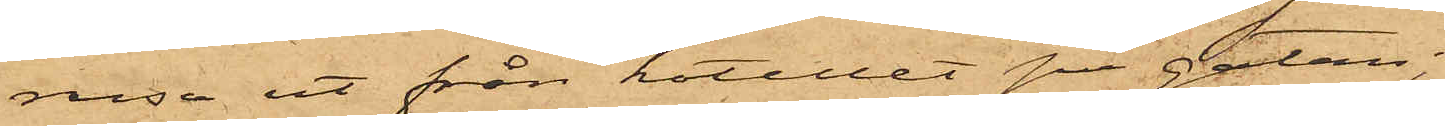rusa ut från hotellet på gatan;
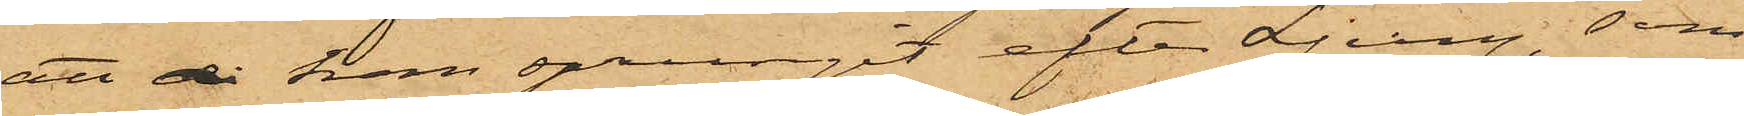att då han sprungit efter Ljung, som
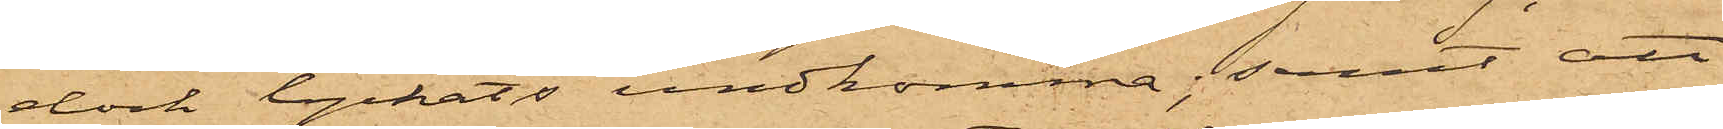dock lyckats undkomma; samt att
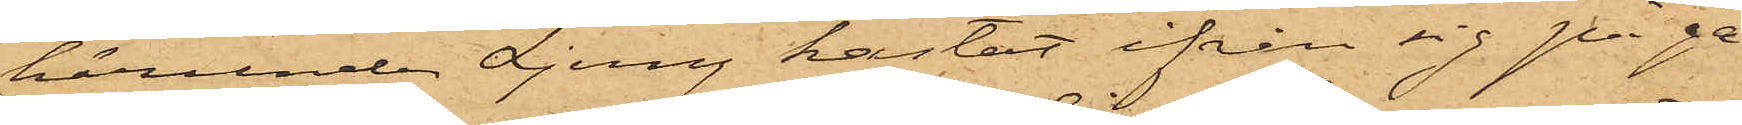härunder Ljung hastat ifrån sig på ga¬
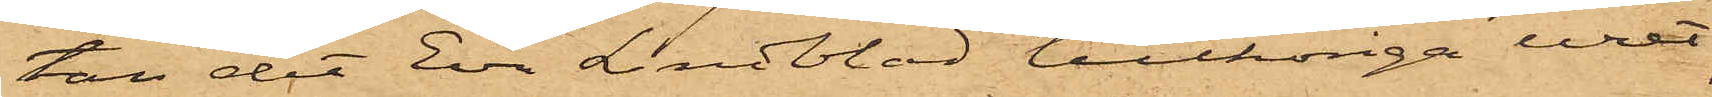tan det Eva Lindblad tillhöriga uret;
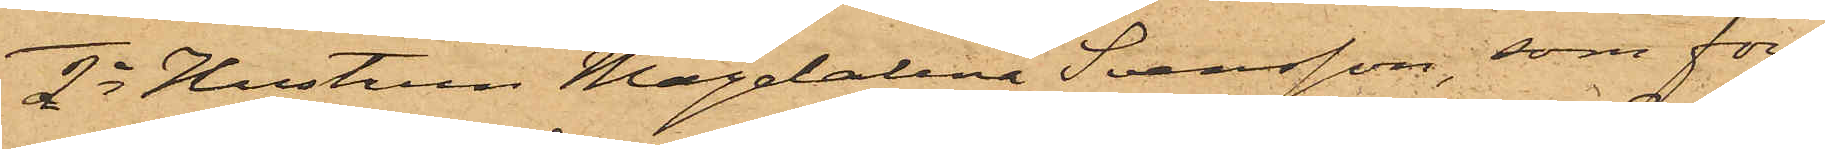2o Hustrun Magdalena Svensson, som före¬
